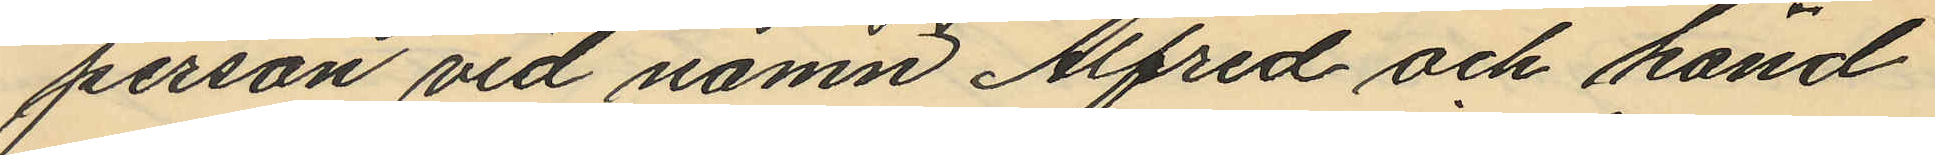person vid namn Alfred och känd
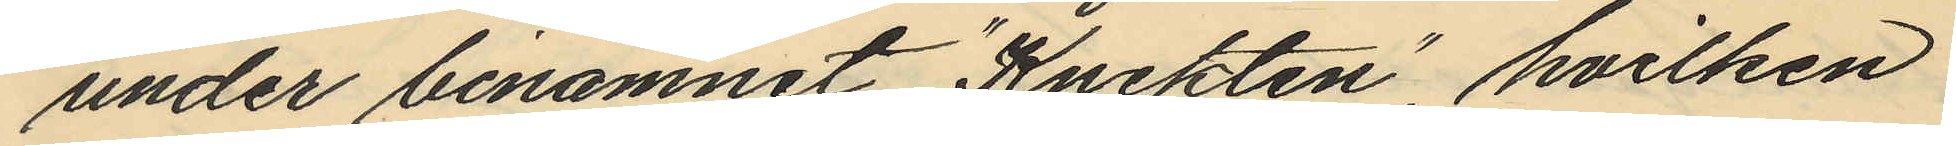under binamnet "Knekten", hvilken
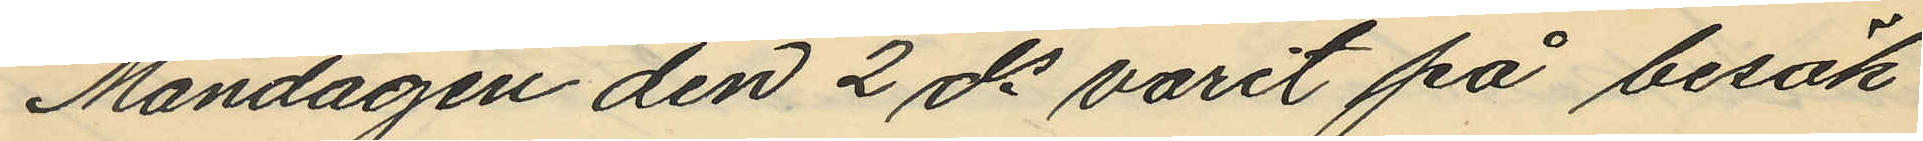Måndagen den 2 ds varit på besök
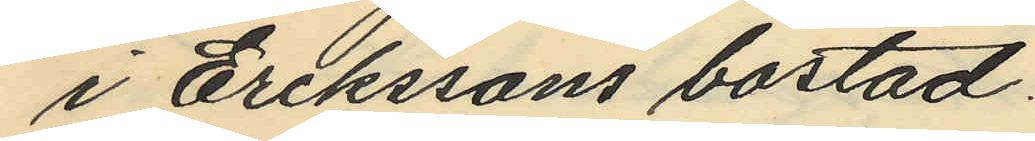i Erikssons bostad.
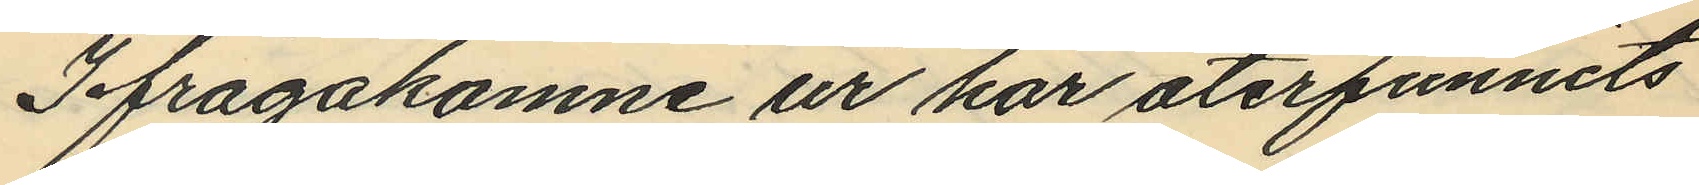Ifrågakomne ur har återfunnits
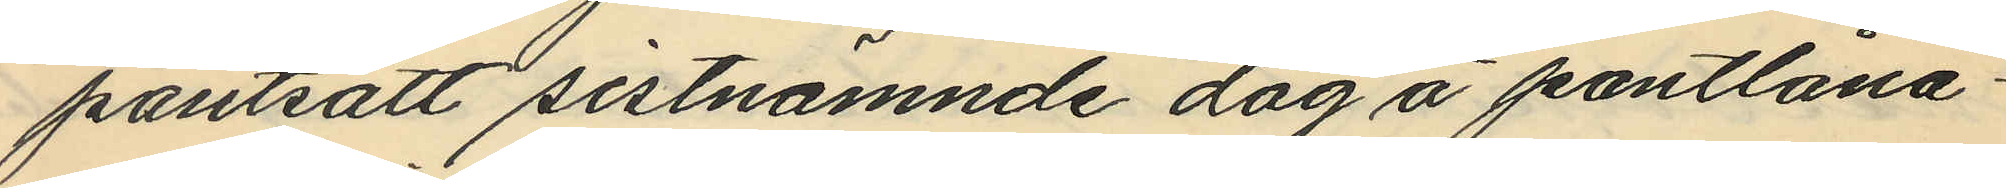pantsatt sistnämnde dag å pantlåna¬
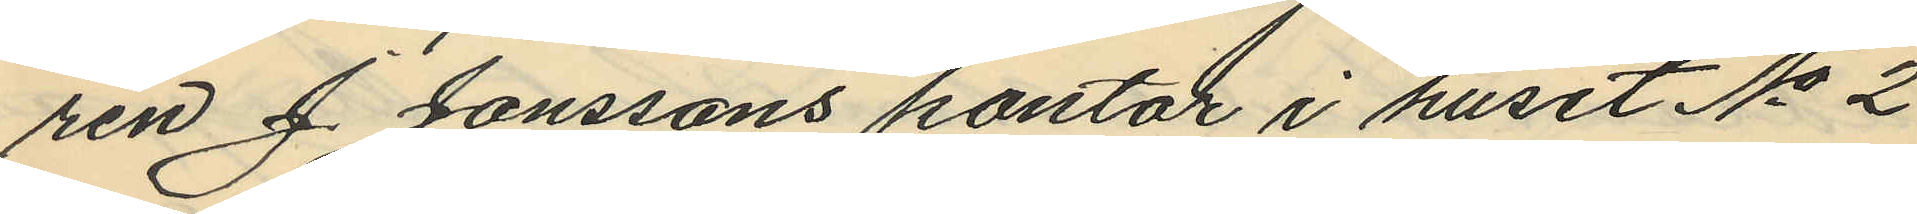ren J. Jonssons kontor i huset No 2
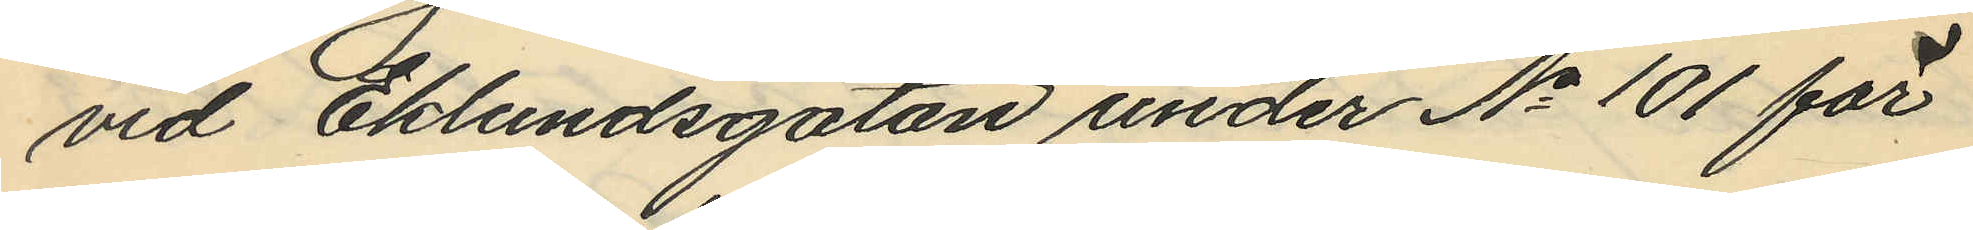vid Eklundsgatan under No 101 för
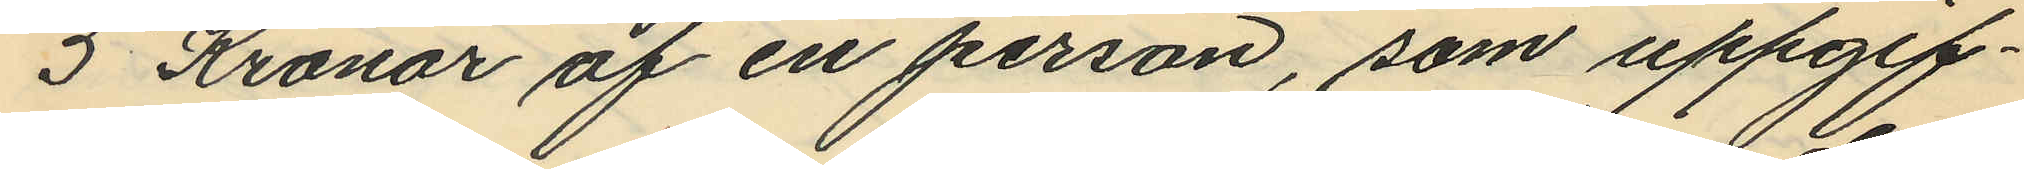5 Kronor af en person, som uppgif¬
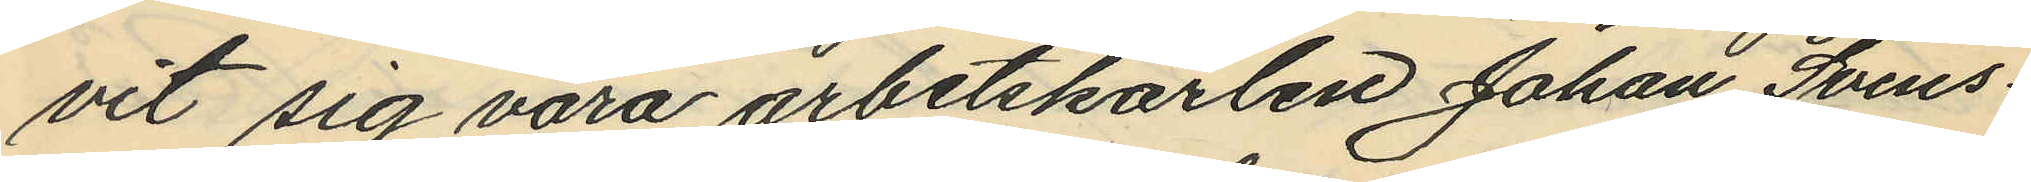vit sig vara arbetskarlen Johan Svens¬
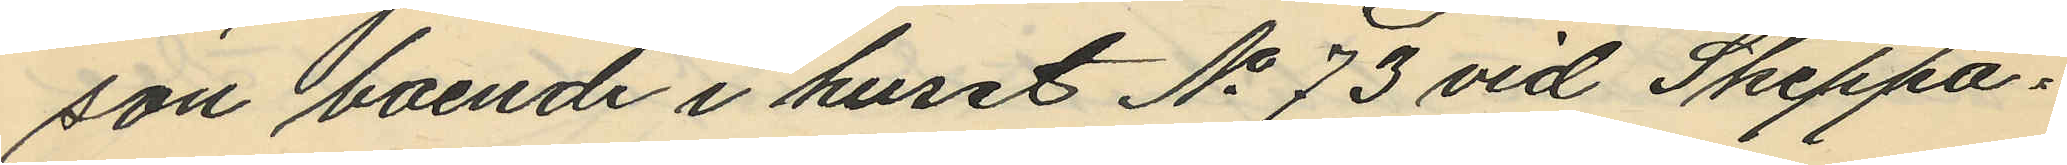son boende i huset No 73 vid Skeppa¬
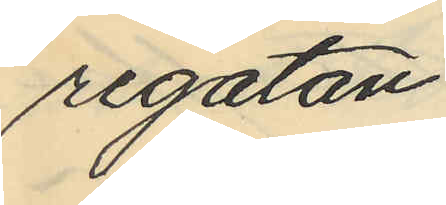regatan.
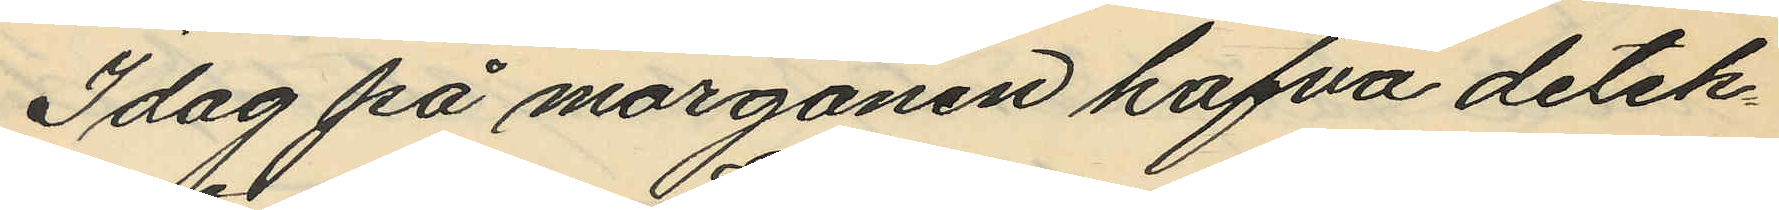Idag på morgonen hafva detek¬
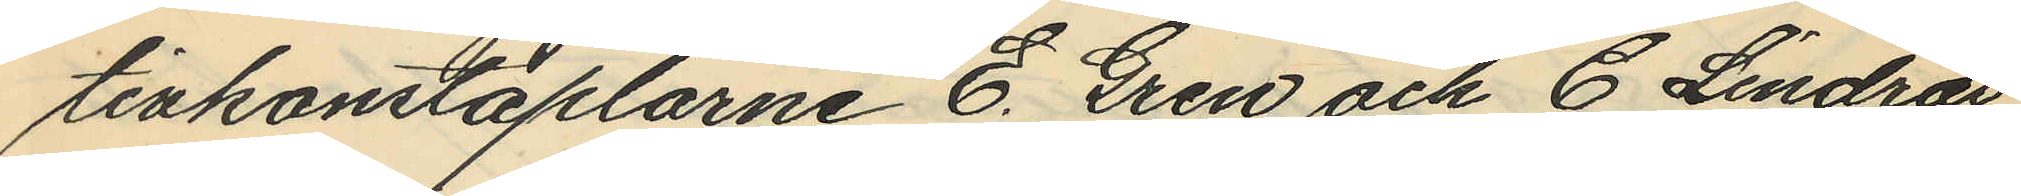tivkonstaplarne E. Gren och C. Lindros
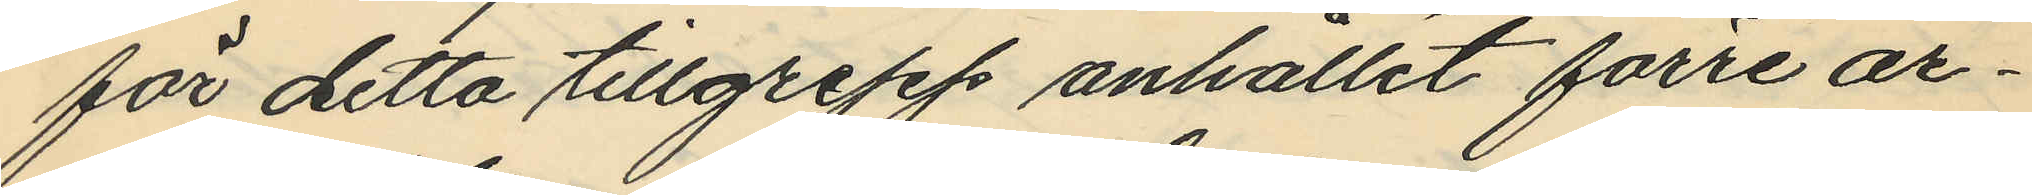för detta tillgrepp anhållit förre ar¬
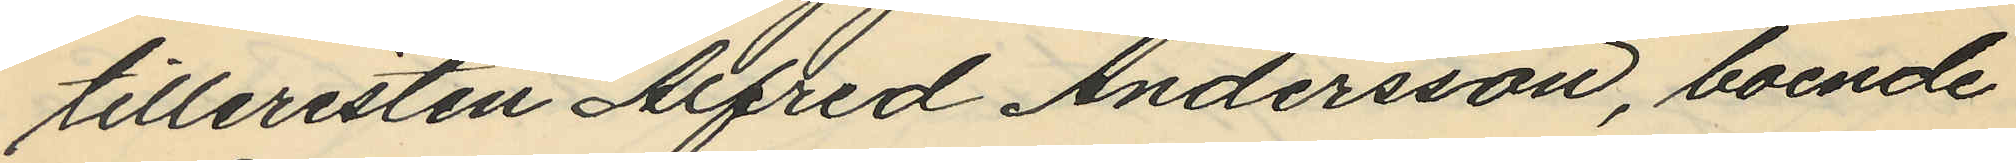tilleristen Alfred Andersson, boende
